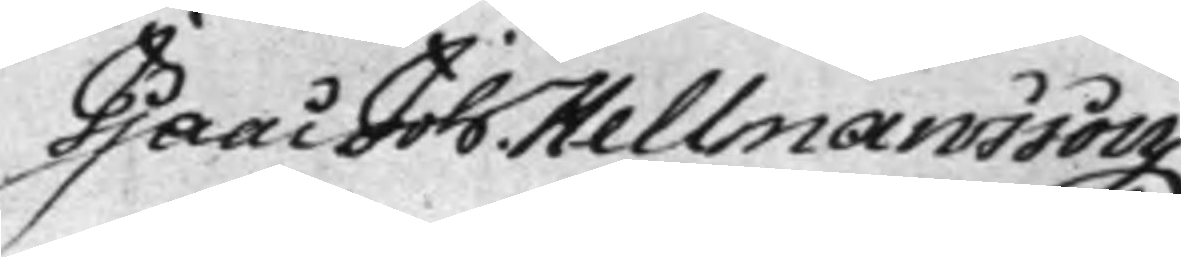Isaac Joh. Hellmansson
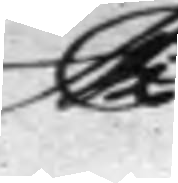Mpria
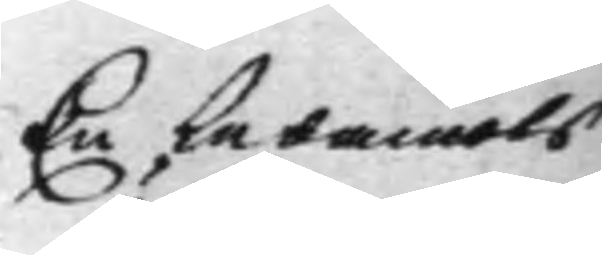En Ledamots
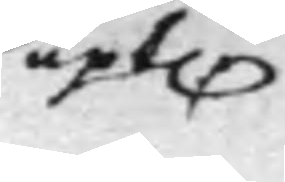upk.
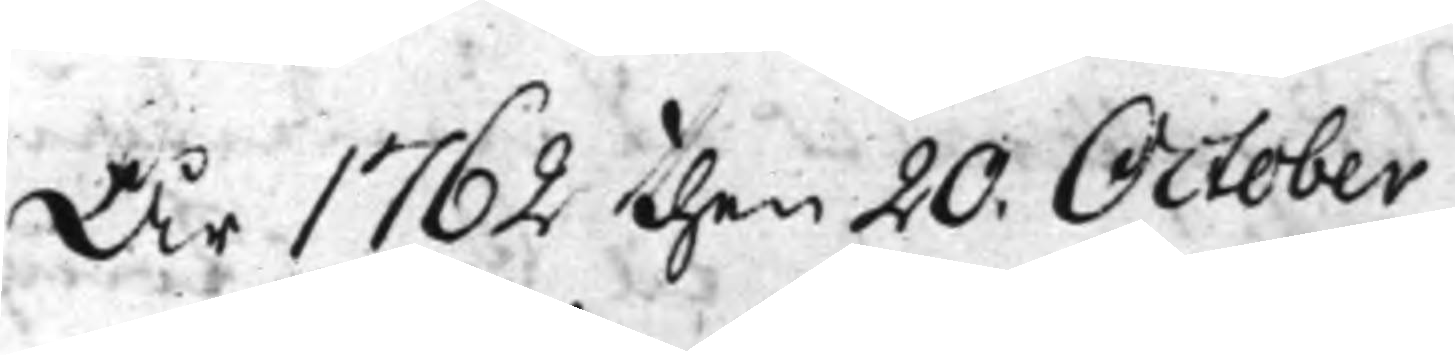År 1762 then 20. October
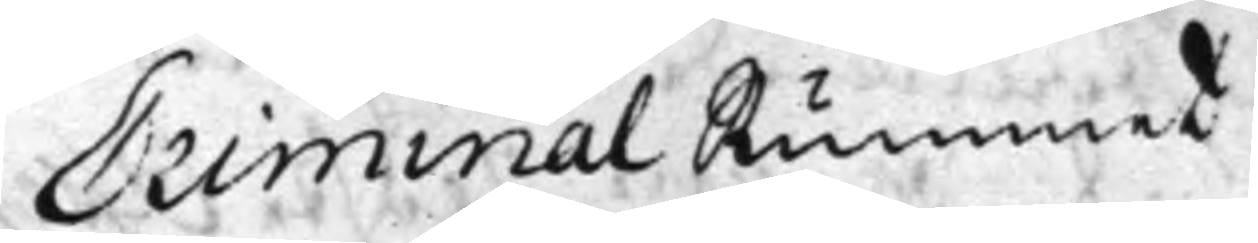Criminal Rummet
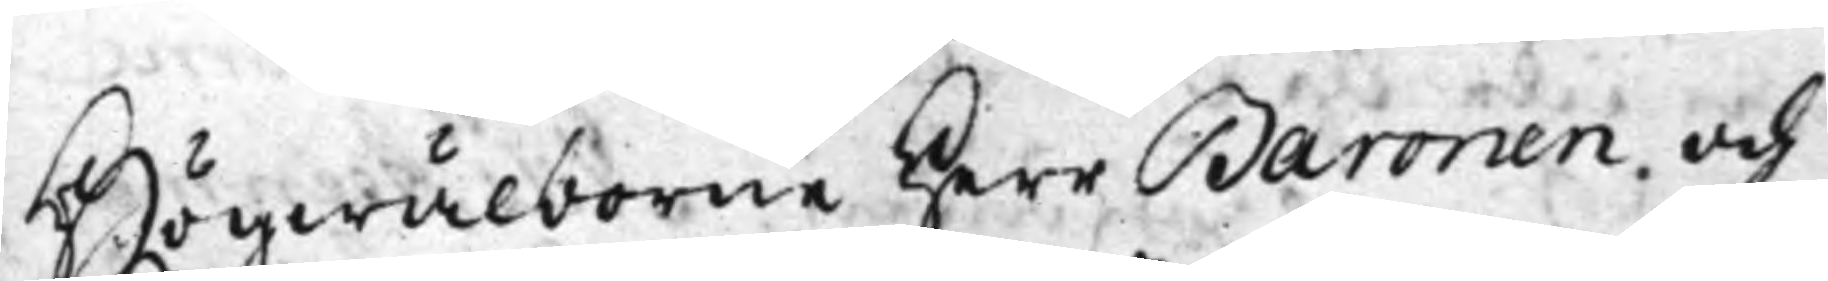Högwälborne Herr Baronen och
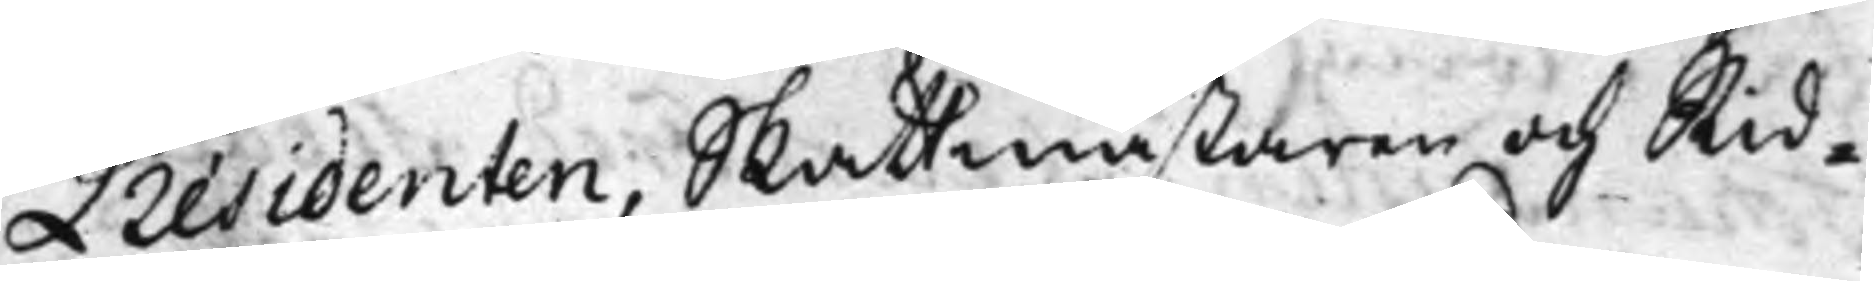Présidenten, Skattmästaren och Rid¬
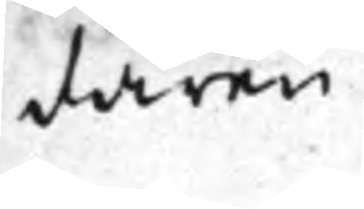daren
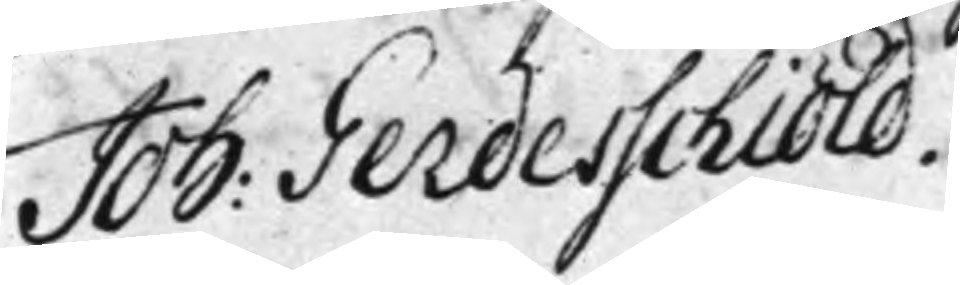Joh: Gerdesschiöld.
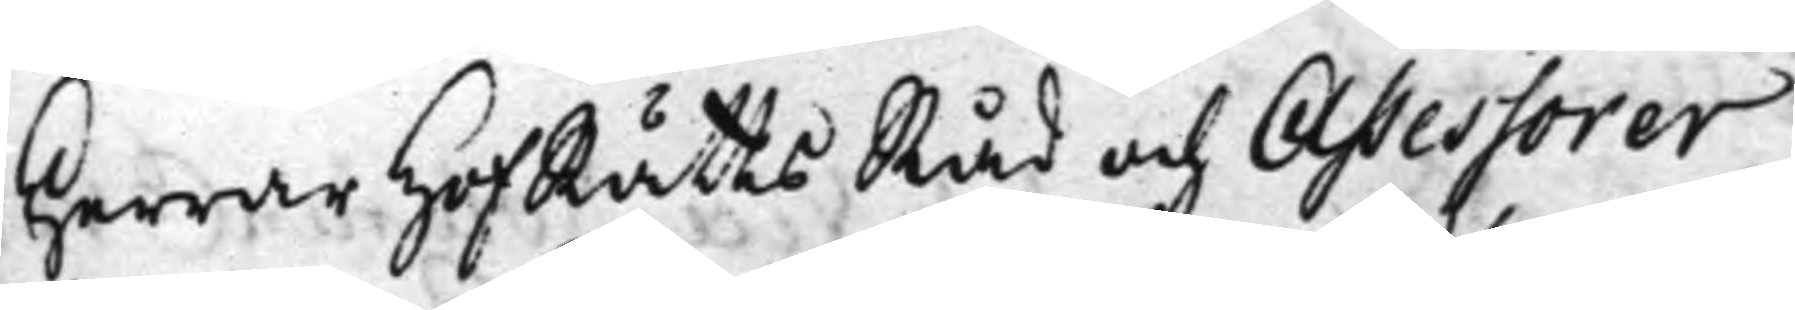Herrar HofRättsRåd och Assessorer
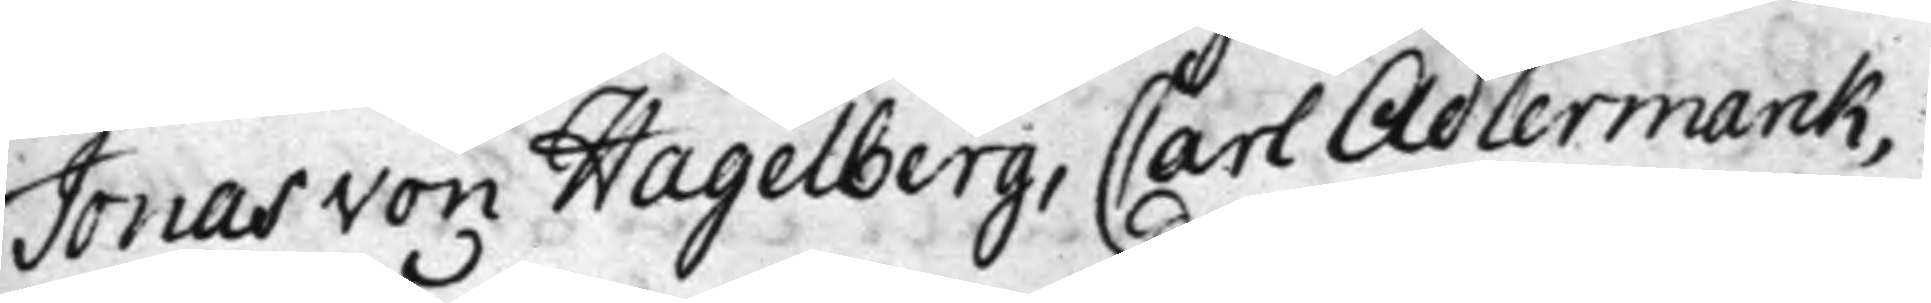Jonas von Hagelberg, Carl Adlermarck,
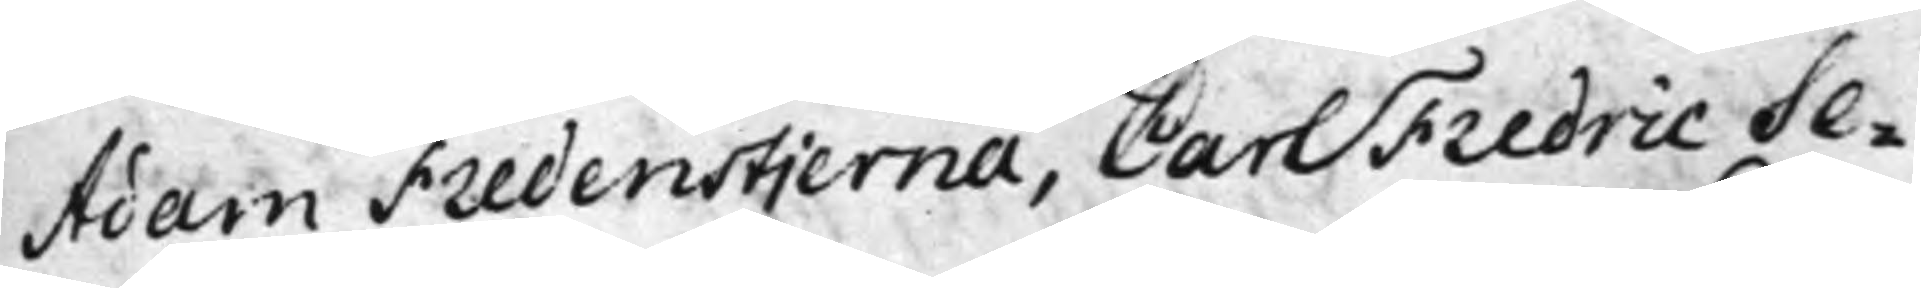Adam Fredenstjerna, Carl Fredric Se¬
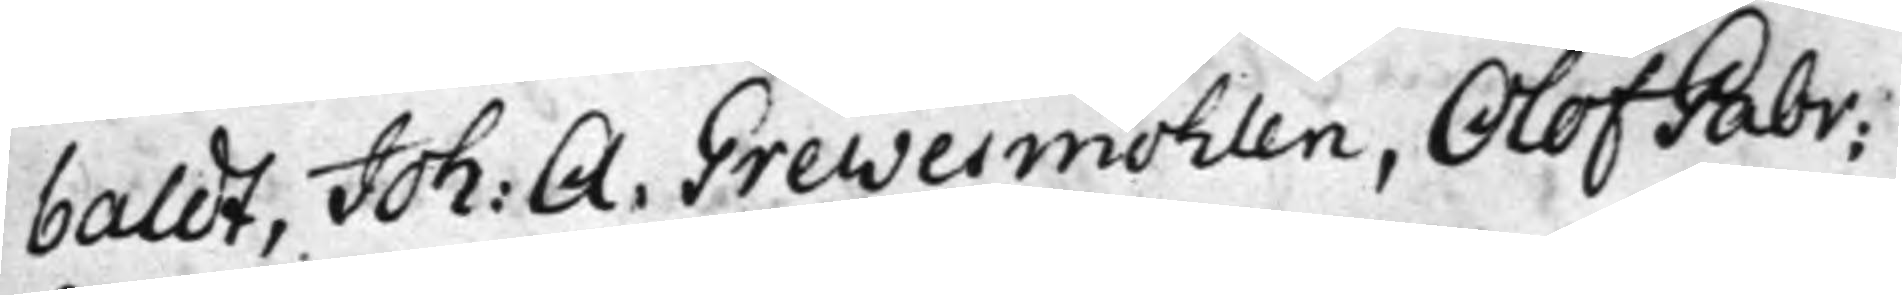baldt, Joh: A: Grewesmöhlen, Olof Gabr:
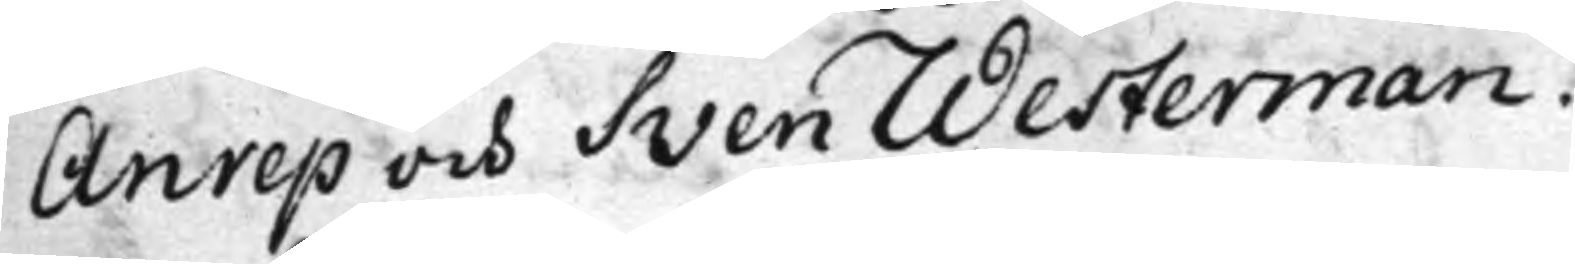Anrep och Sven Westerman.
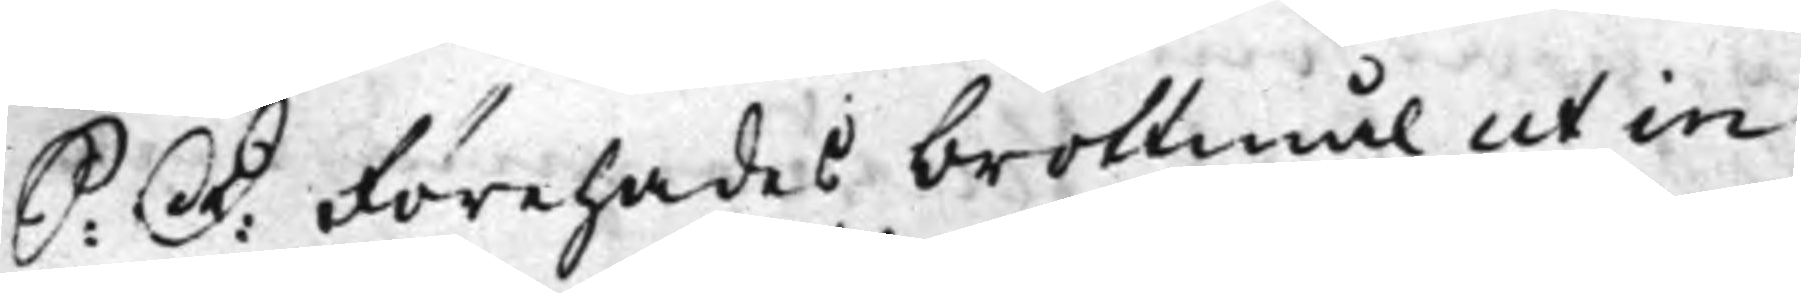S: D: Förehades brottmål ut in
